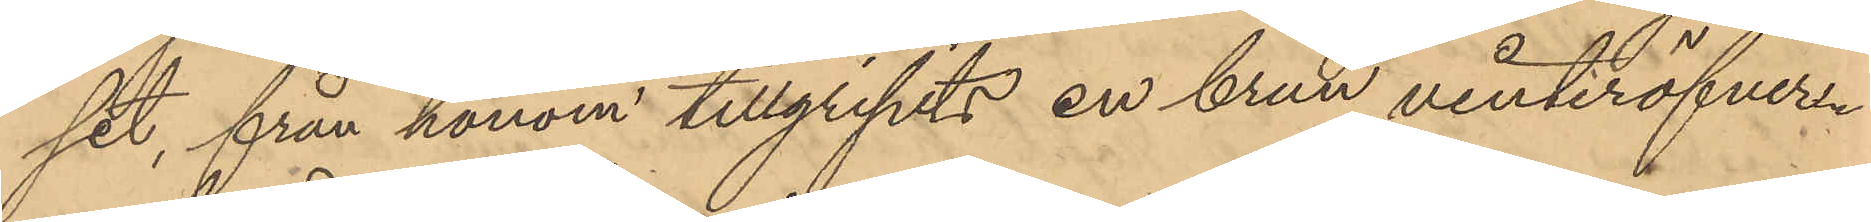set, från honom tillgripits en brun vinteröfver¬
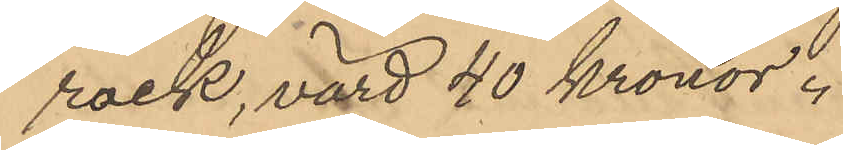rock, värd 40 Kronor.
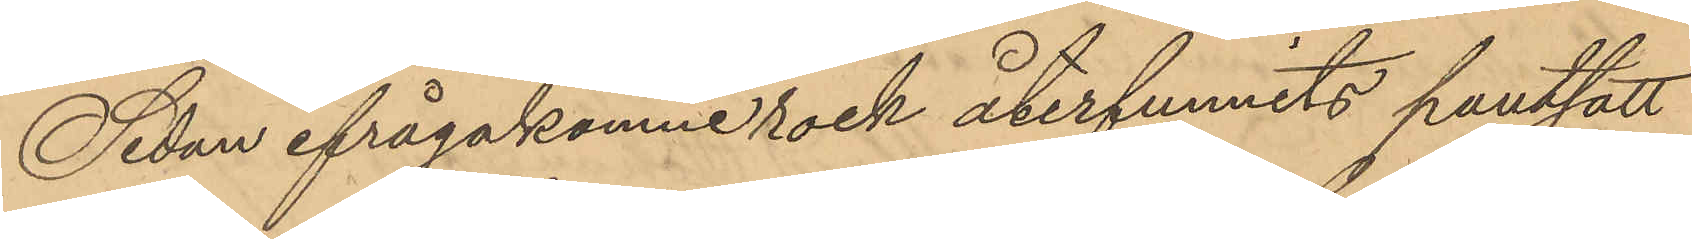Sedan ifrågakomne rock återfunnits pantsatt
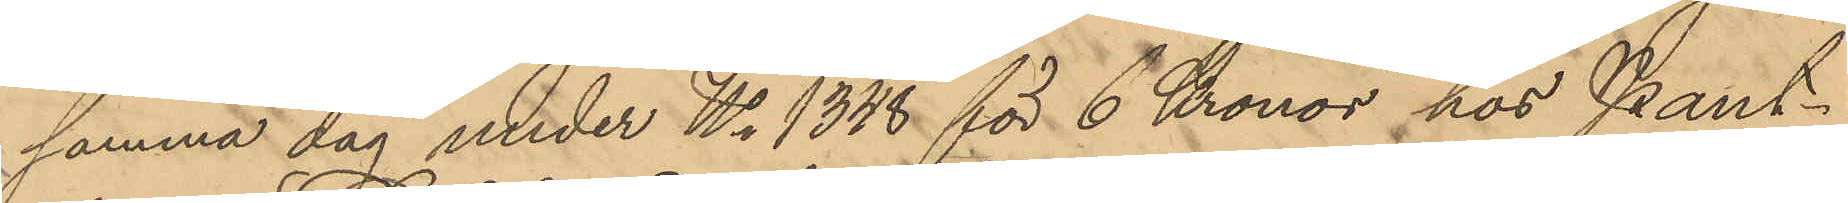samma dag under No 1348 för 6 Kronor hos Pant¬
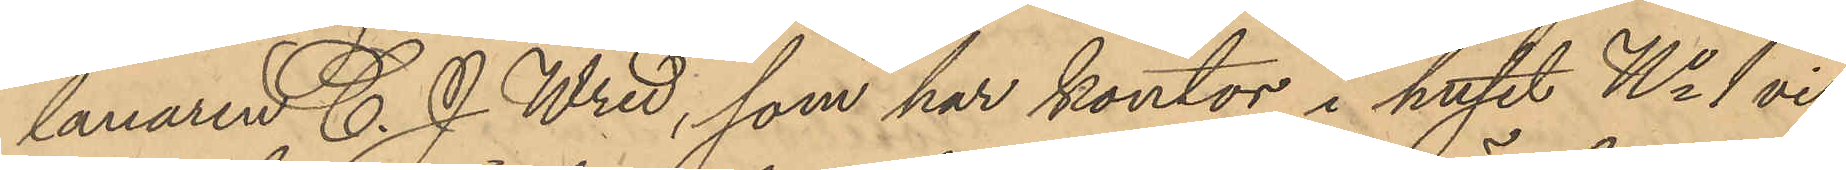lanaren C. J. Wred, som har kontor i huset No 1 vid
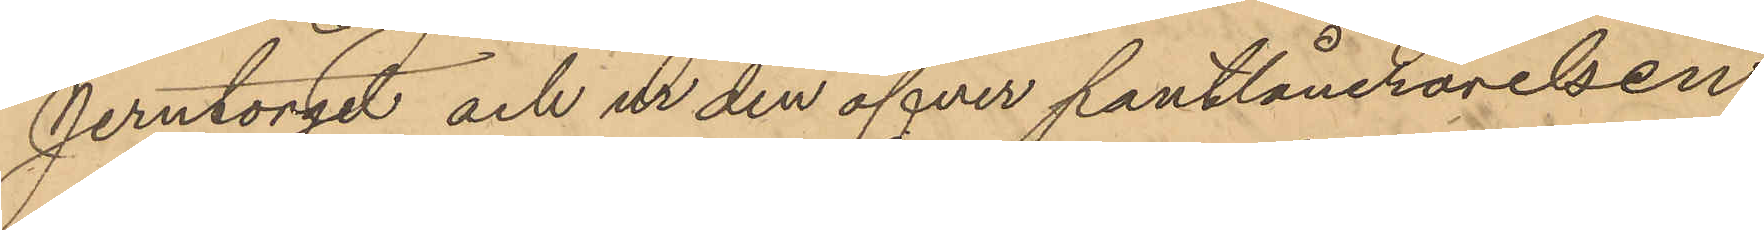Jerntorget och ur den öfver pantlånerörelsen
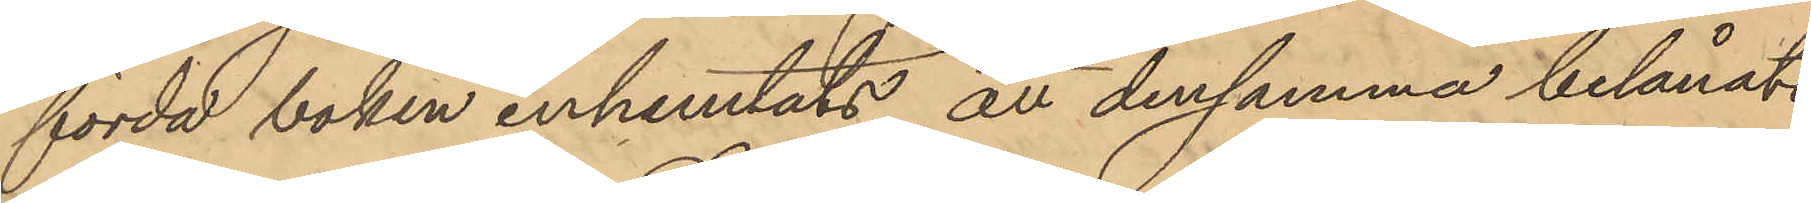förda boken inhemtats, att densamma belånats
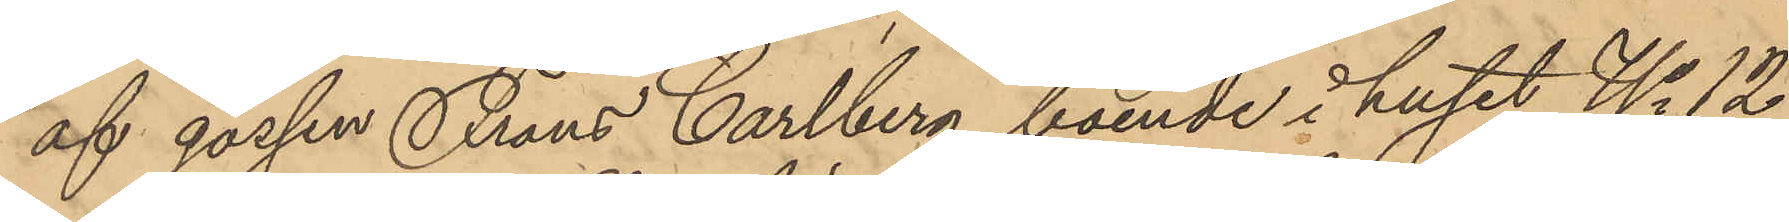af gossen Frans Carlberg, boende i huset No 12
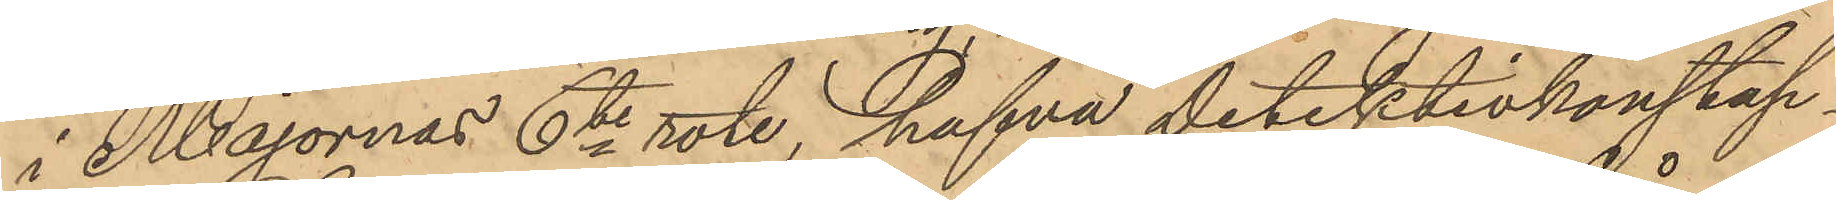i Majornas 6te rote, hafva detektivkonstap¬
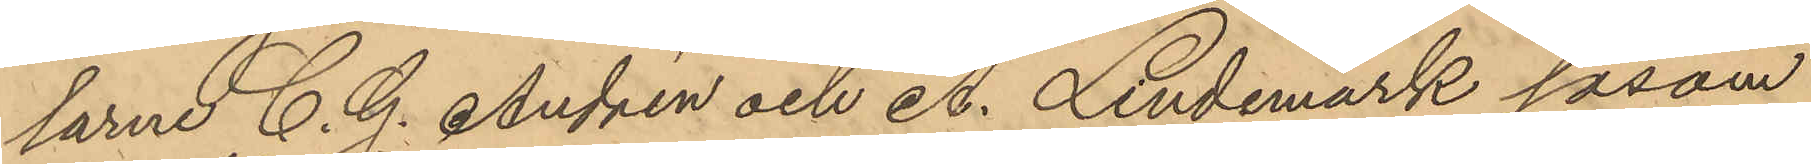larne C. G. Andrén och A. Lindemark såsom
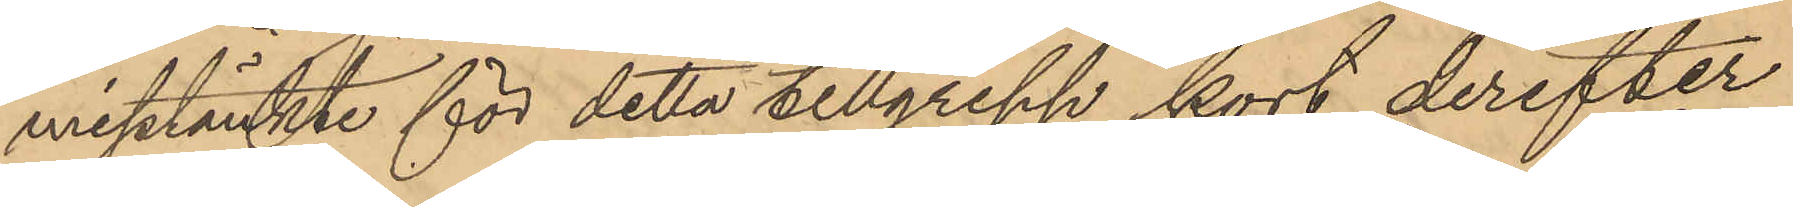misstänkte för detta tillgrepp kort derefter
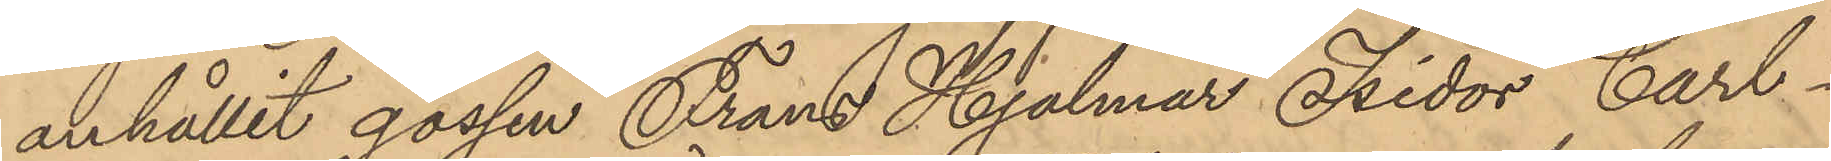anhållit gossen Frans Hjalmar Isidor Carl¬
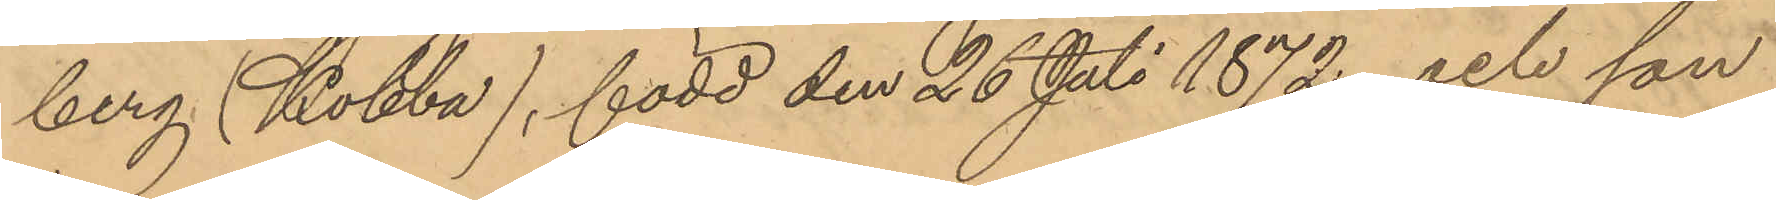berg (Kobba), född den 26 Juli 1872 och son
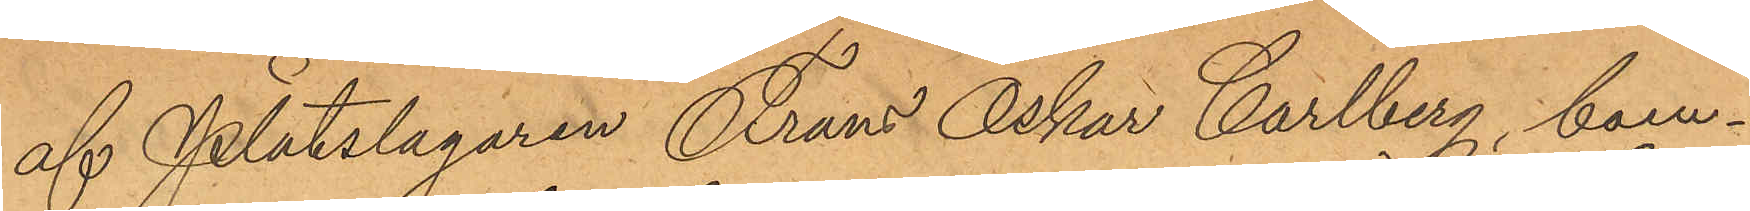af Plåtslagaren Frans Oskar Carlberg, boen¬
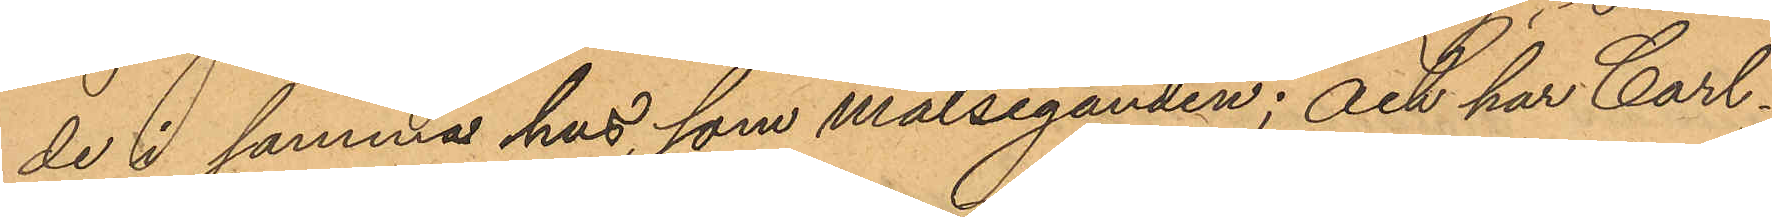de i samma hus som målseganden; och har Carl¬
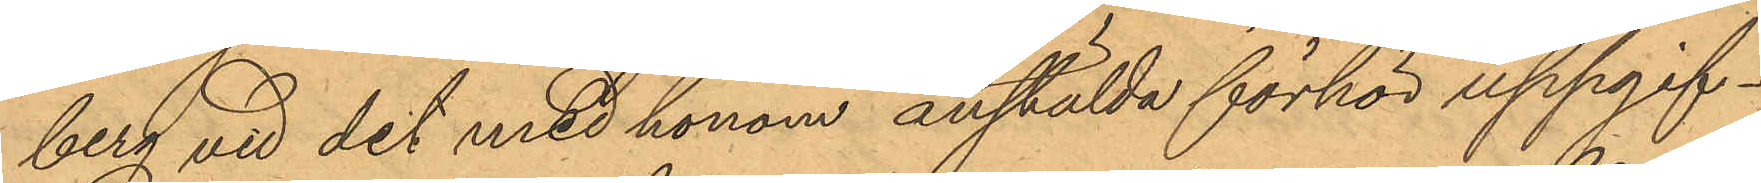berg vid det med honom anstälda förhör uppgif¬
